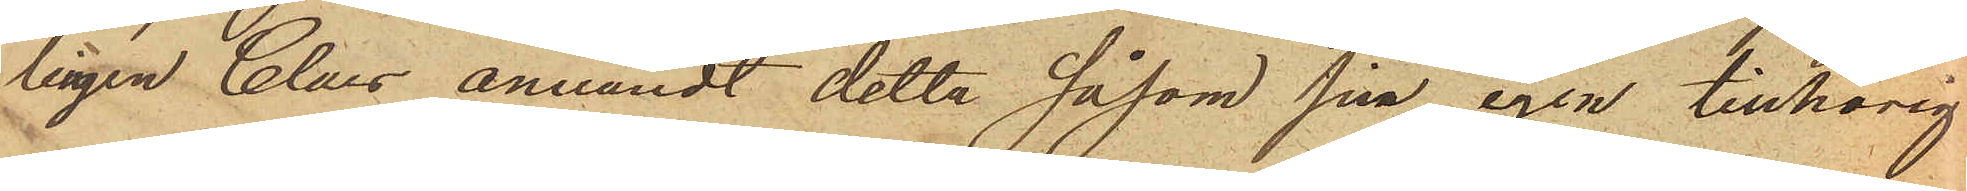lingen Claes användt detta såsom sina egen tillhörig¬
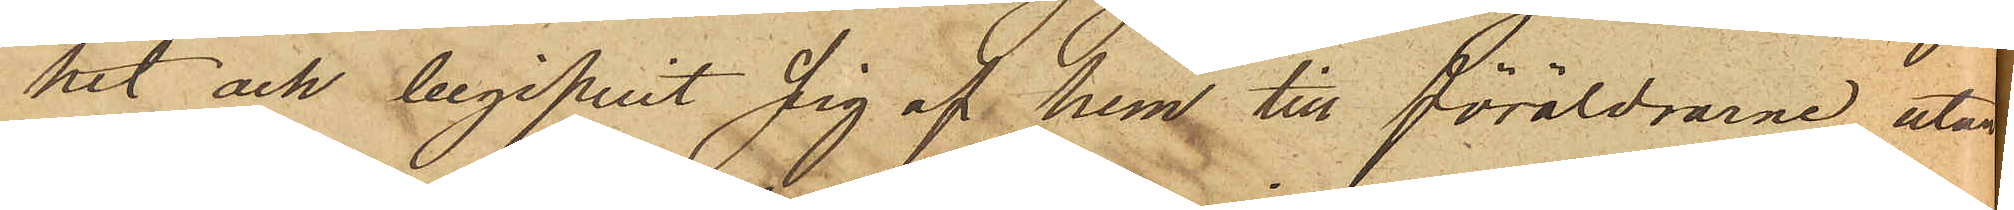het och begifvit sig af hem till föräldrarne utan
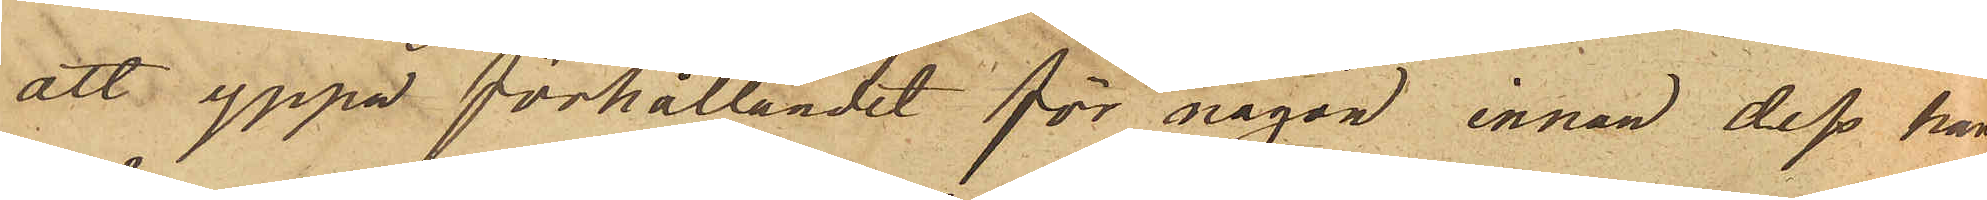att yppa förhållandet för någon innan dess han
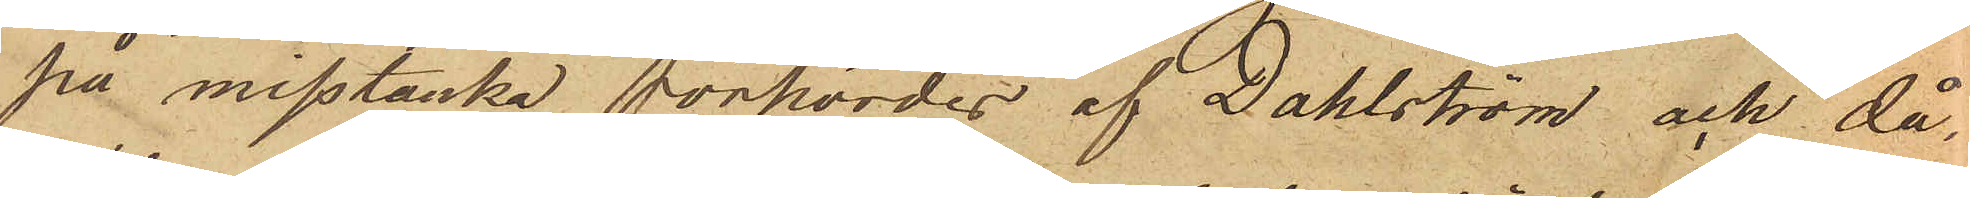på misstanke förhördes af Dahlström och då
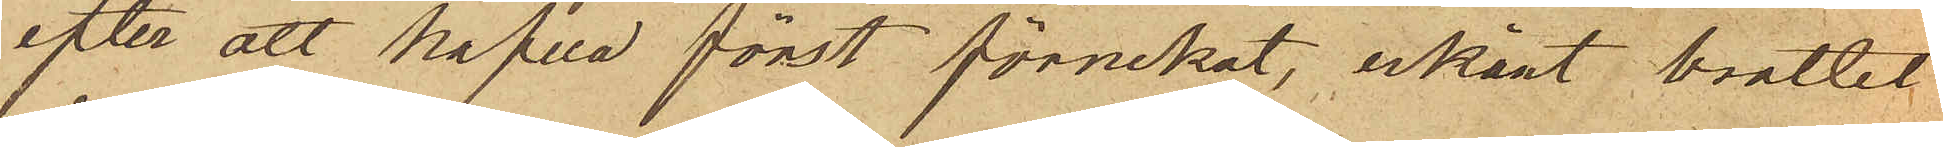efter att hafva först förnekat, erkänt brottet
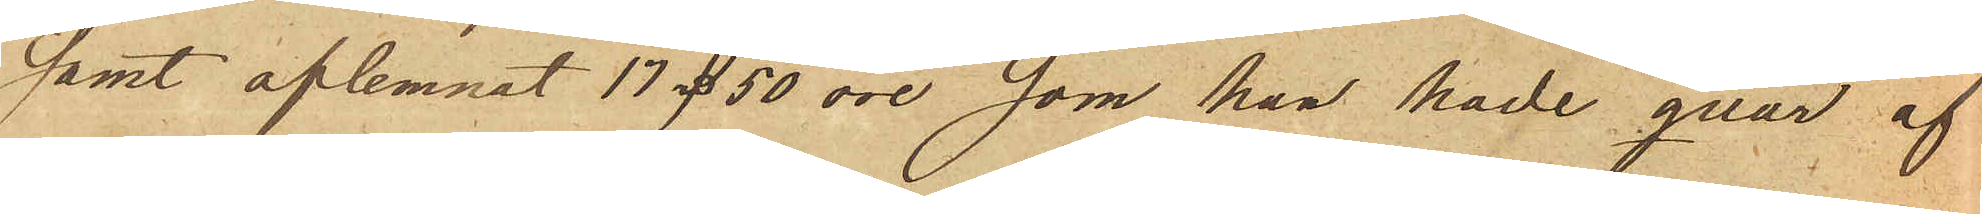samt aflemnat 17 rd 50 öre som han hade qvar af
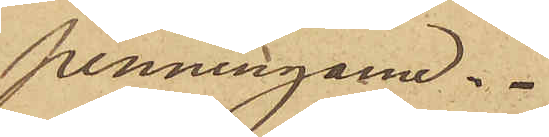penningarne.
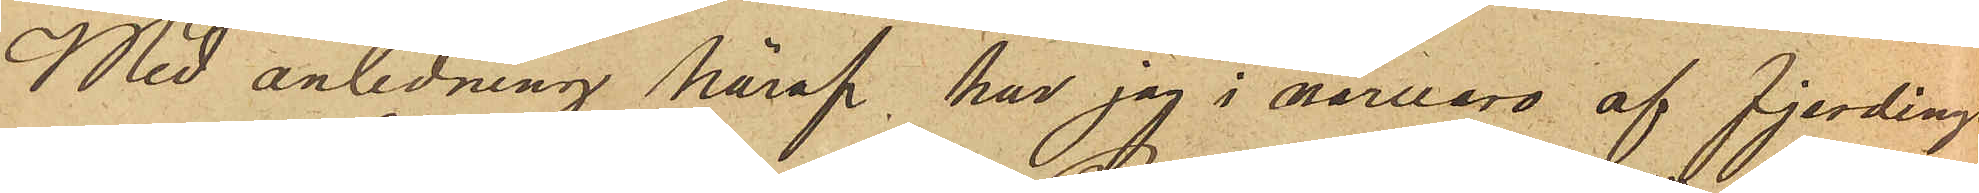Med anledning häraf, har jag i närvaro af fjerdings-
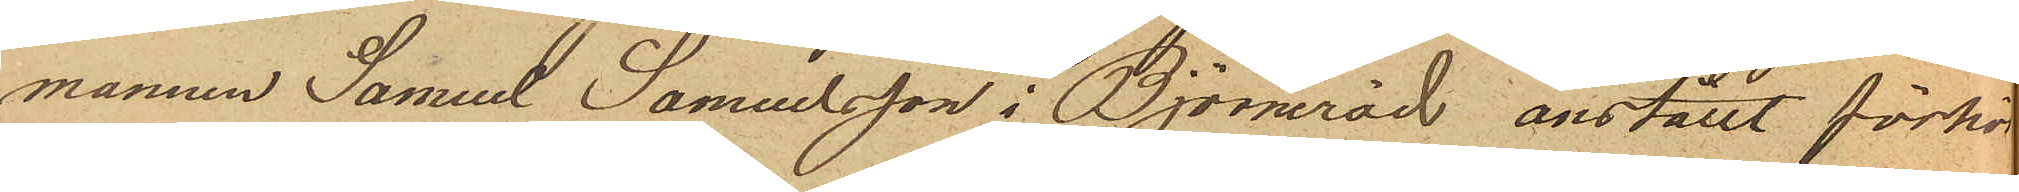mannen Samuel Samuelsson i Björneröd anställt förhör
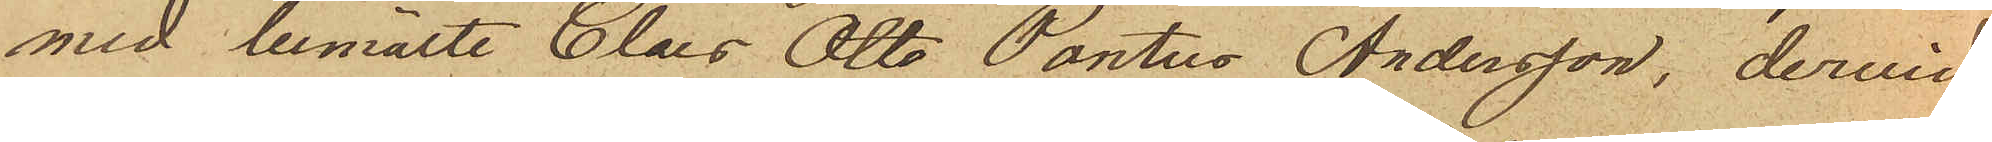med bemälde Claes Otto Pontus Andersson, dervid
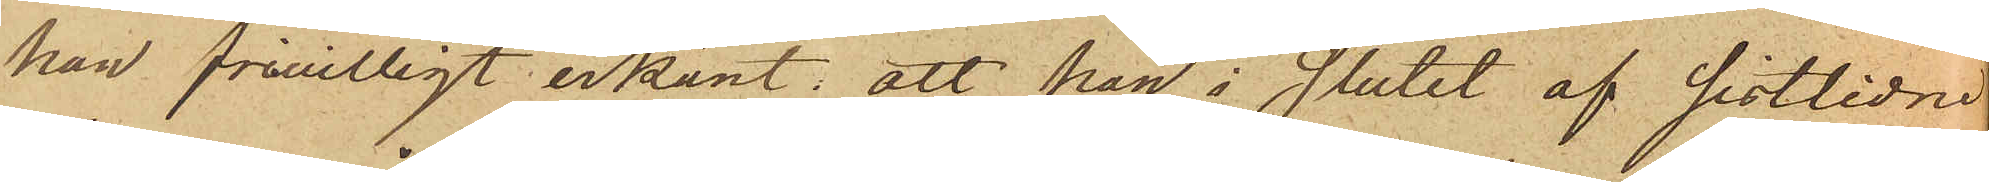han frivilligt erkänt: att han i slutet af sistlidne
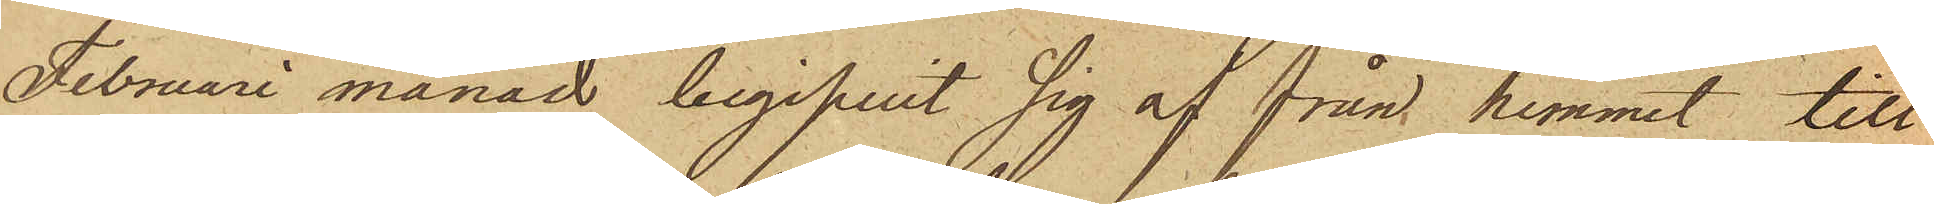Februari månad begifvit sig af från hemmet till
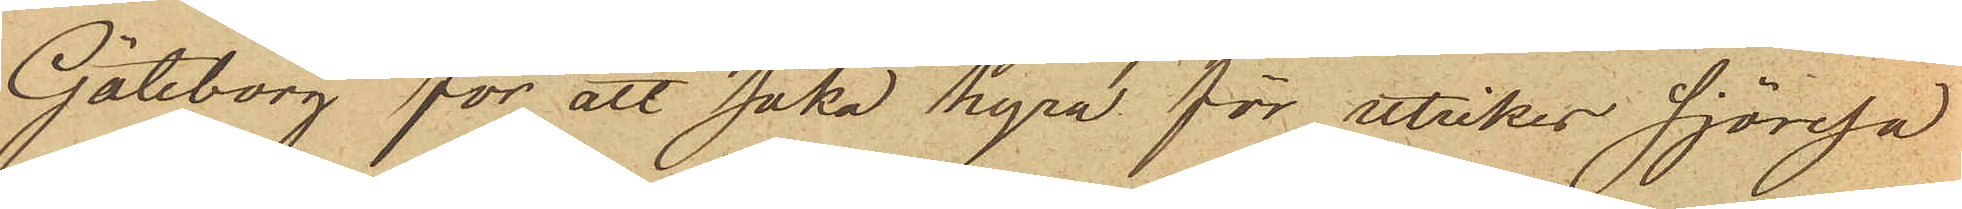Göteborg för att söka hyra för utrikes sjöresa
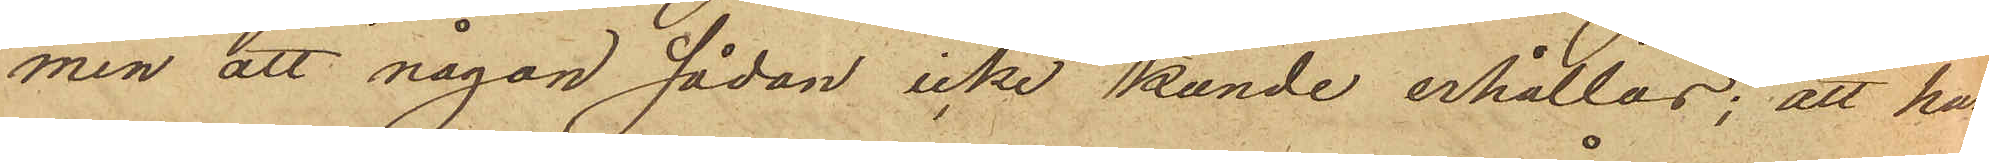men att någon sådan icke kunde erhållas; att han
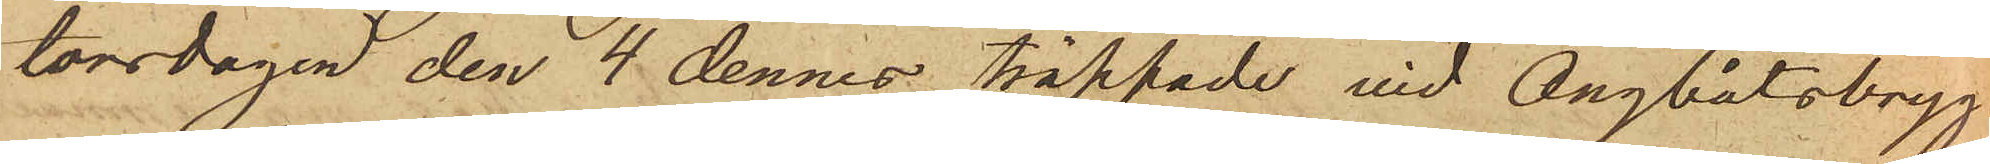torsdagen den 4 dennes träffade vid Ångbåtsbryg¬
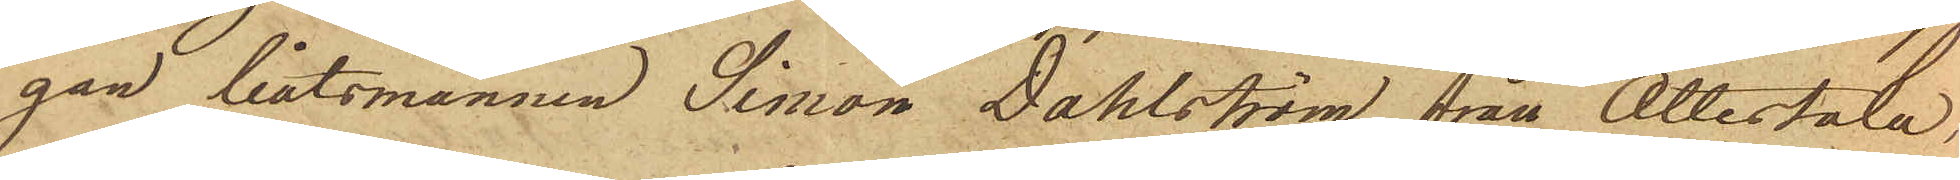gan båtsmannen Simon Dahlström från Ottestala,
